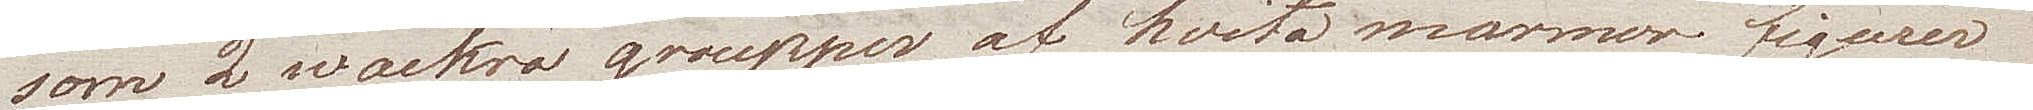som 2 wackra groupper af hvita marmor figurer
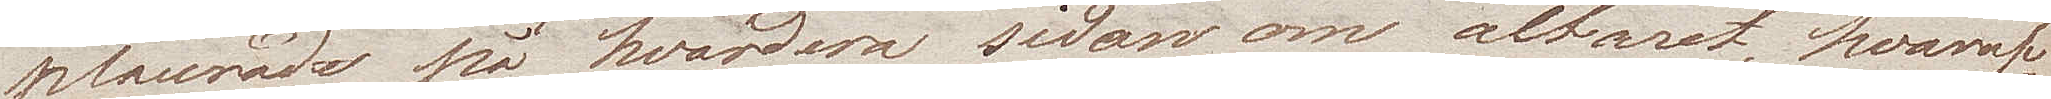placerade på hvardera sidan om altaret, hvaraf
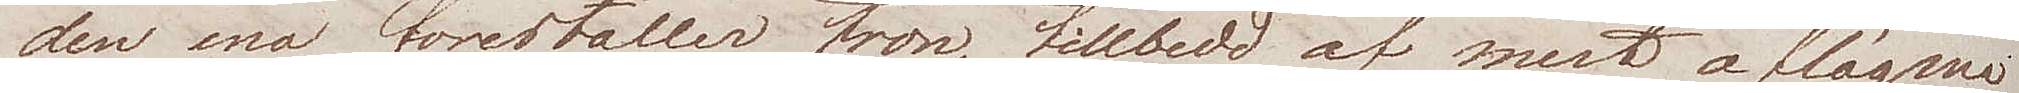den ena föreställer tron, tillbedd af mest aflägsna
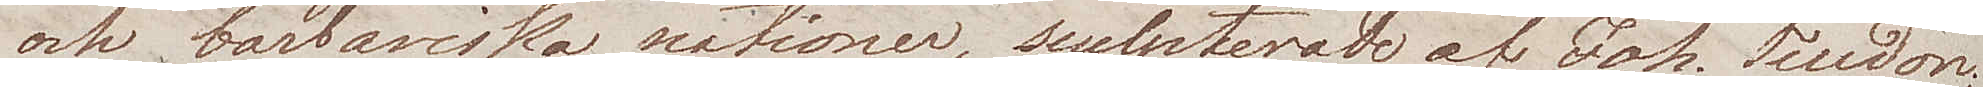och barbariska nationer, sculpterade af Joh. Teudon,
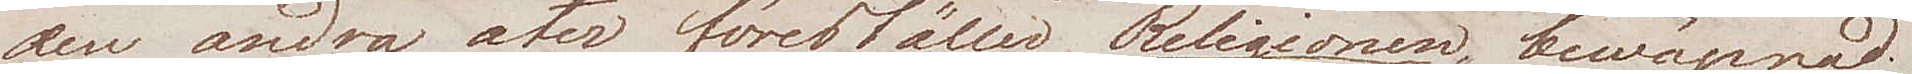den andra åter föreställer Religionen, bewäpnad
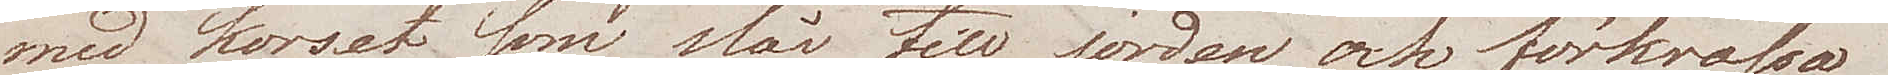med korset som slår till jorden, och förkrossa
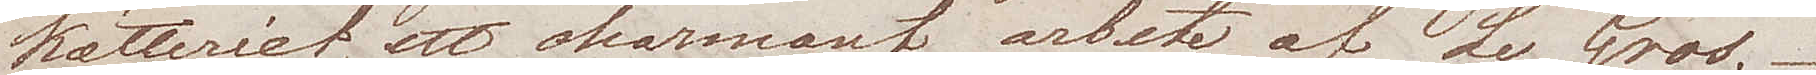kätteriet, ett charmant arbete af Le Gros.
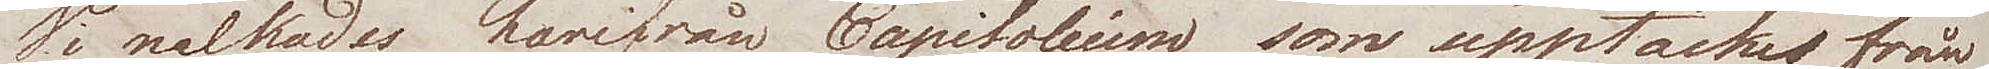Vi nalkades härifrån Capitolium som upptäckes från
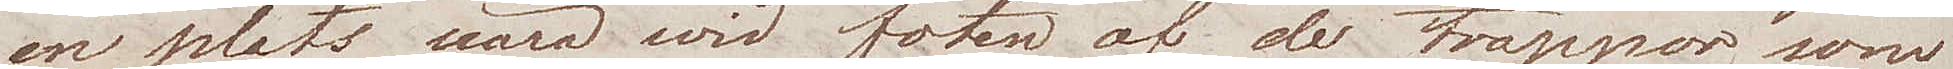en plats nära wid foten af de trappor som
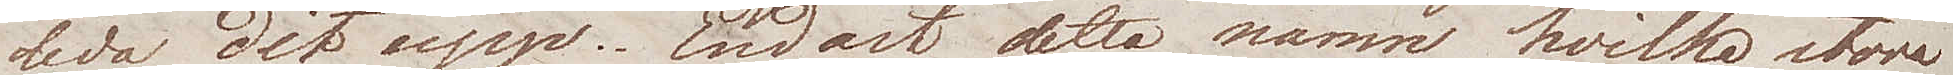leda dit upp. Endast detta namn hvilka stora
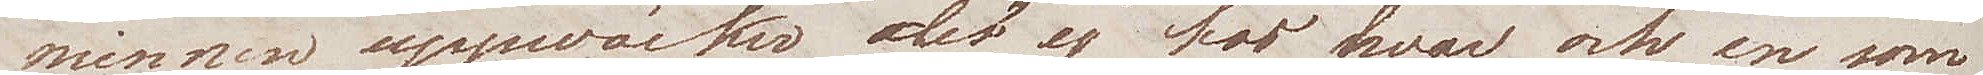minnen uppväcker det ej hos hvar och en som
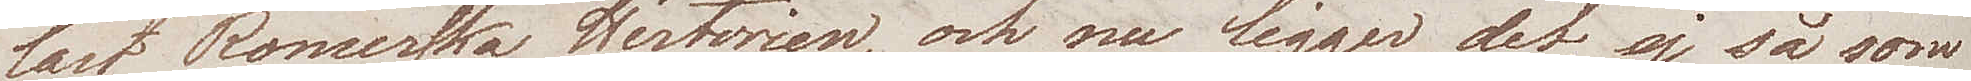läst romerska Historien, och nu ligger det, ej så som
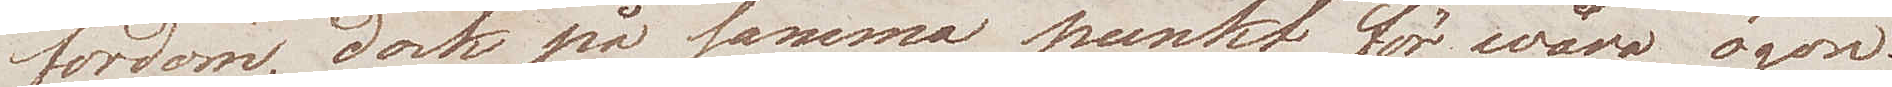fordom, dock på samma punkt för wåra ögon.
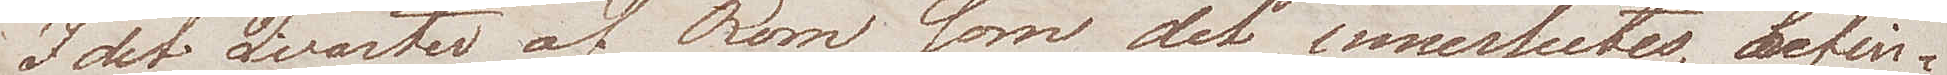I det Qvarter af Rom som det inneslutes, befin¬
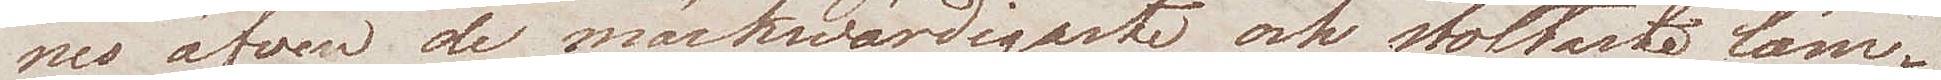nes äfven de märkwärdigaste och stoltaste läm¬
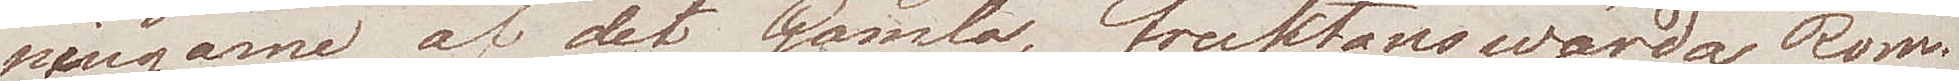ningarne af det Gamla, fruktanswärda Rom.
